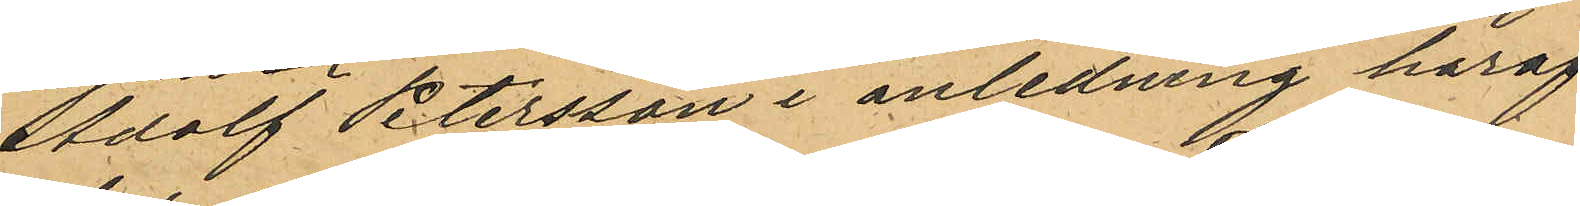Adolf Petersson i anledning häraf
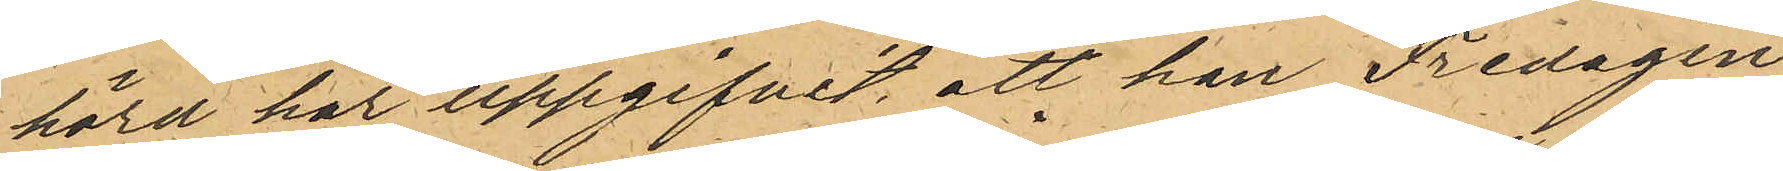hörd har uppgifvit, att han Fredagen
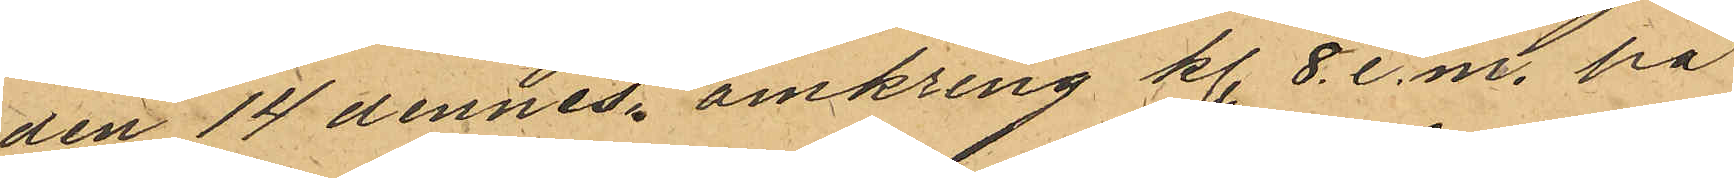den 14 dennes omkring kl. 8. e.m. på
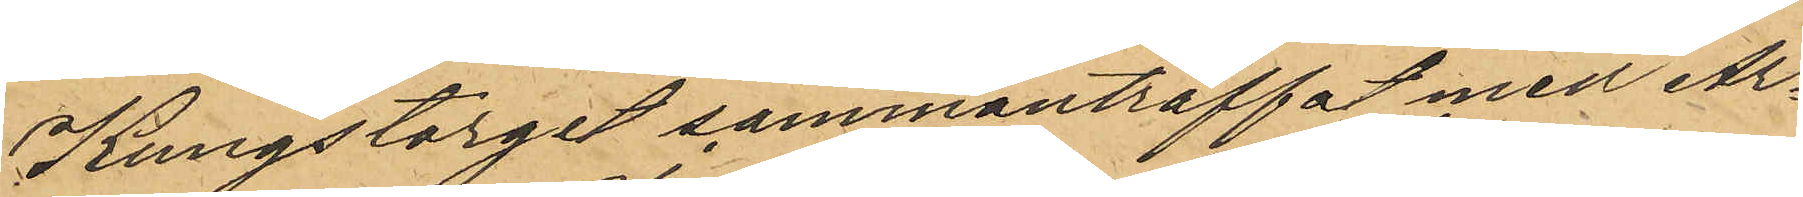Kungstorget sammanträffat med Ar¬
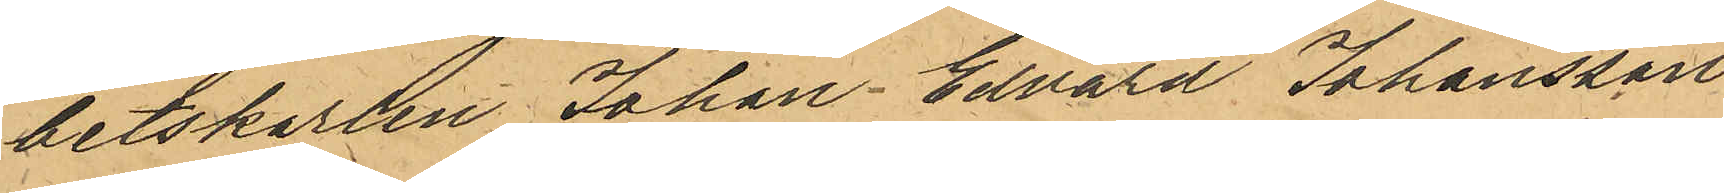betskarlen Johan Edvard Johansson
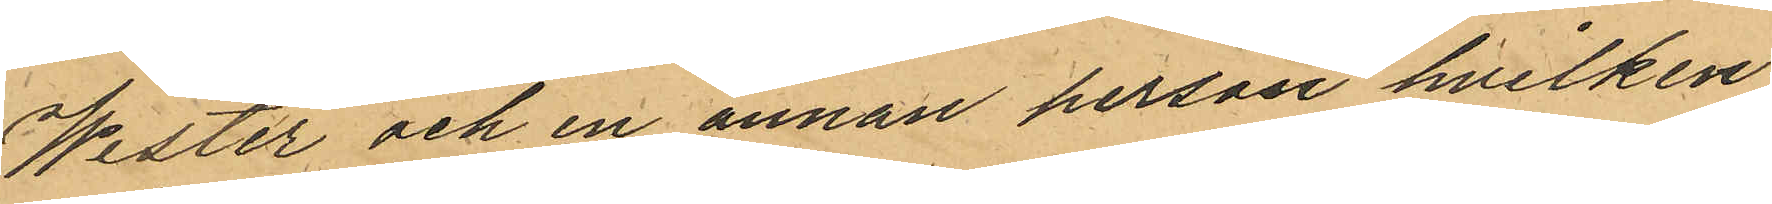Wester och en annan person hvilken
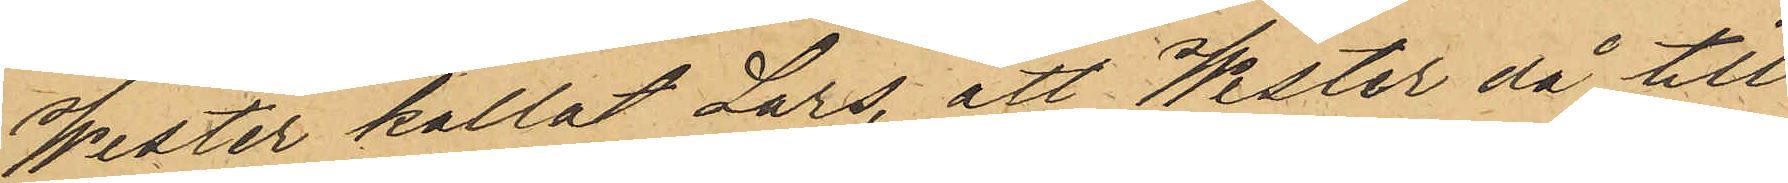Wester kallat Lars, att Wester då till
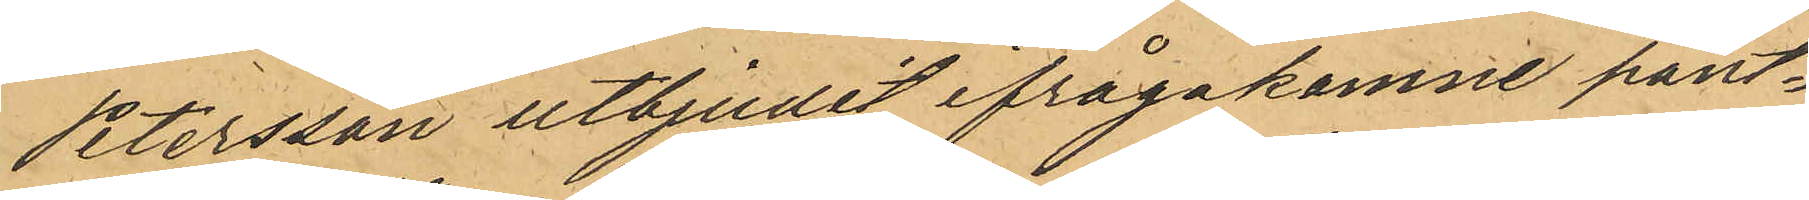Petersson utbjudit ifrågakomne pant¬
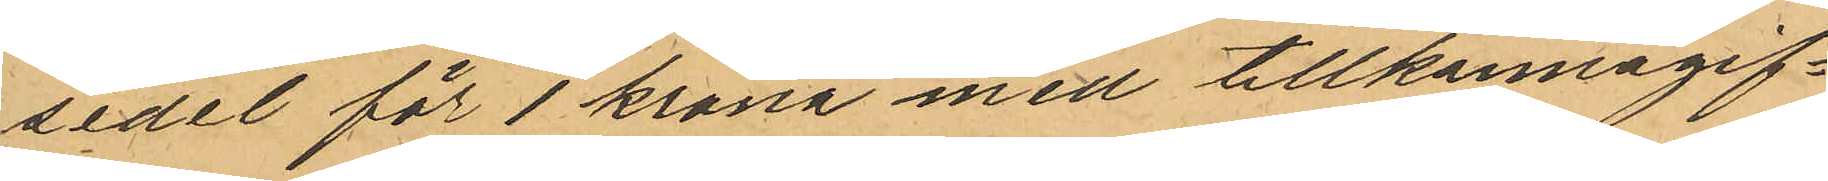sedel för 1 krona med tillkännagif¬
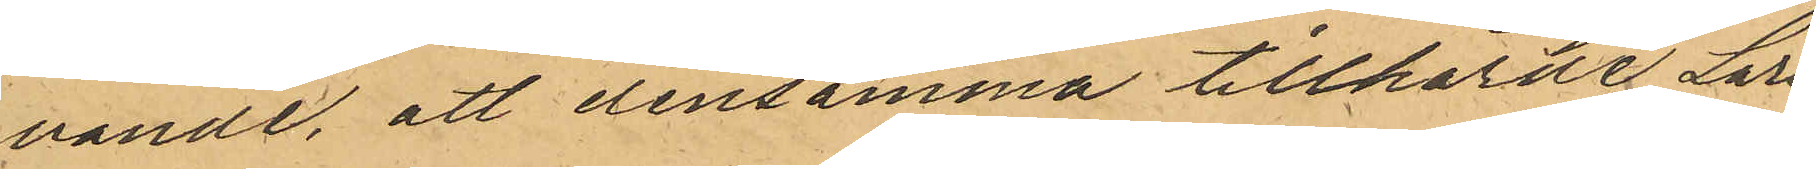vande, att densamma tillhörde Lars
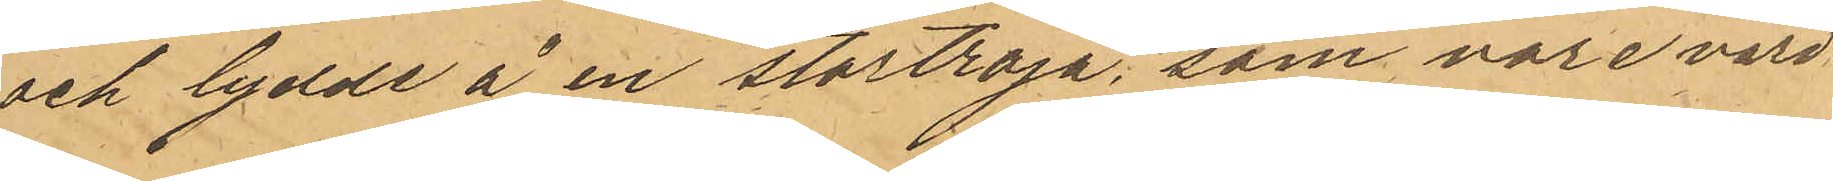och lydde å en stortröja, som vore värd
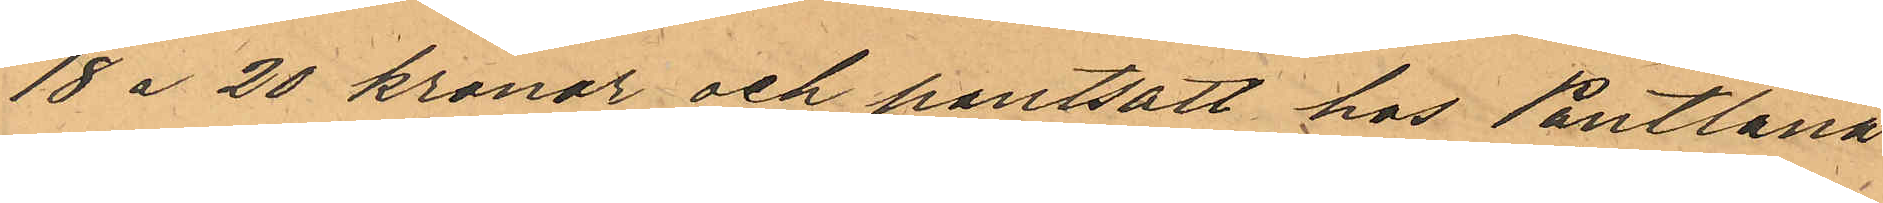18 á 20 kronor och pantsatt hos Pantlåna
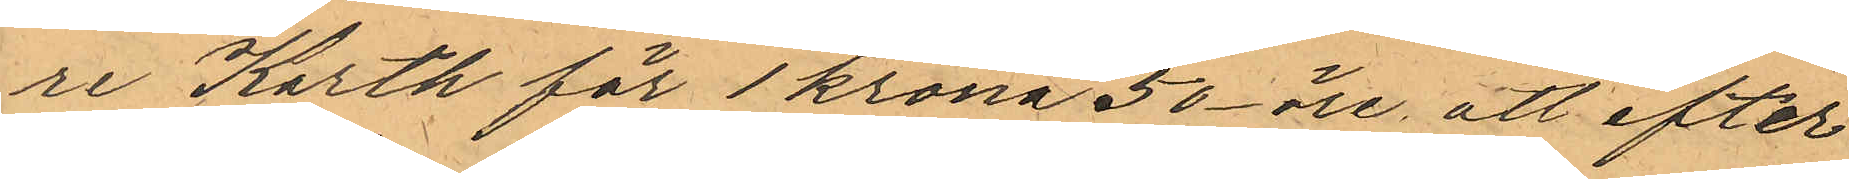re Karth för 1 krona 50 öre, att efter
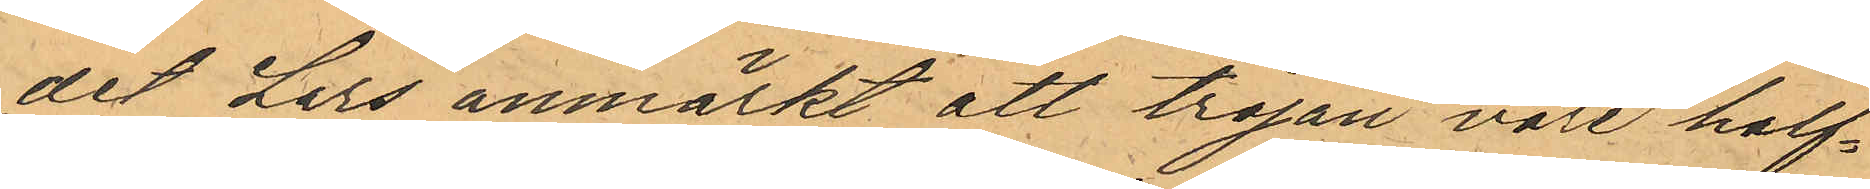det Lars anmärkt att tröjan vore half¬
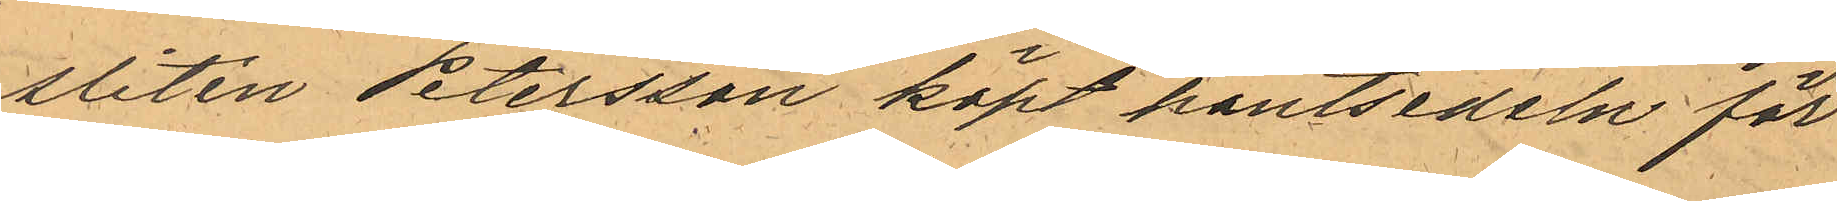sliten Petersson köpt pantsedeln för
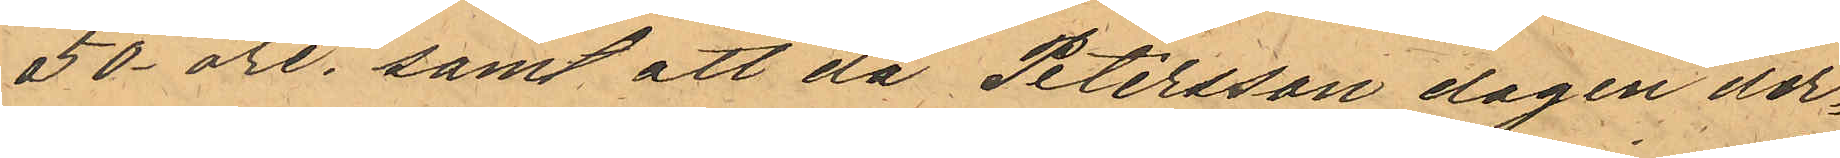50 öre; samt att då Petersson dagen der¬
